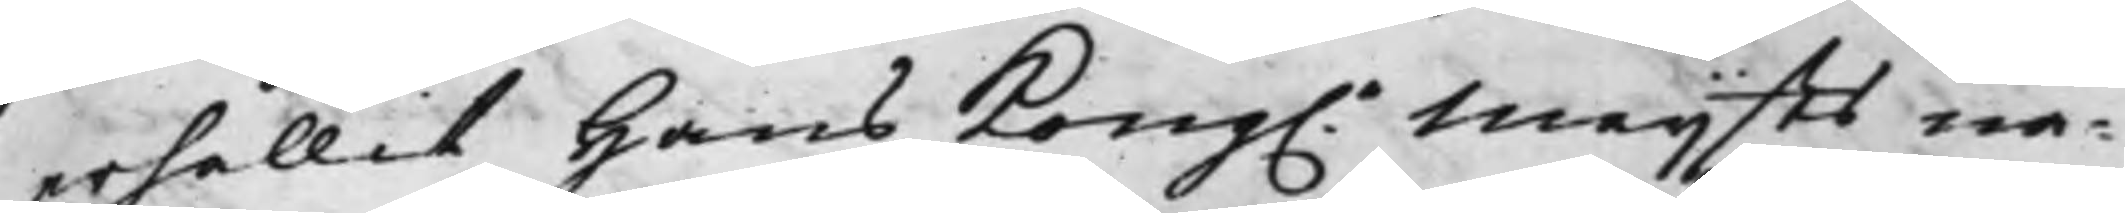erhållit Hans Kong.e Maijts nå¬
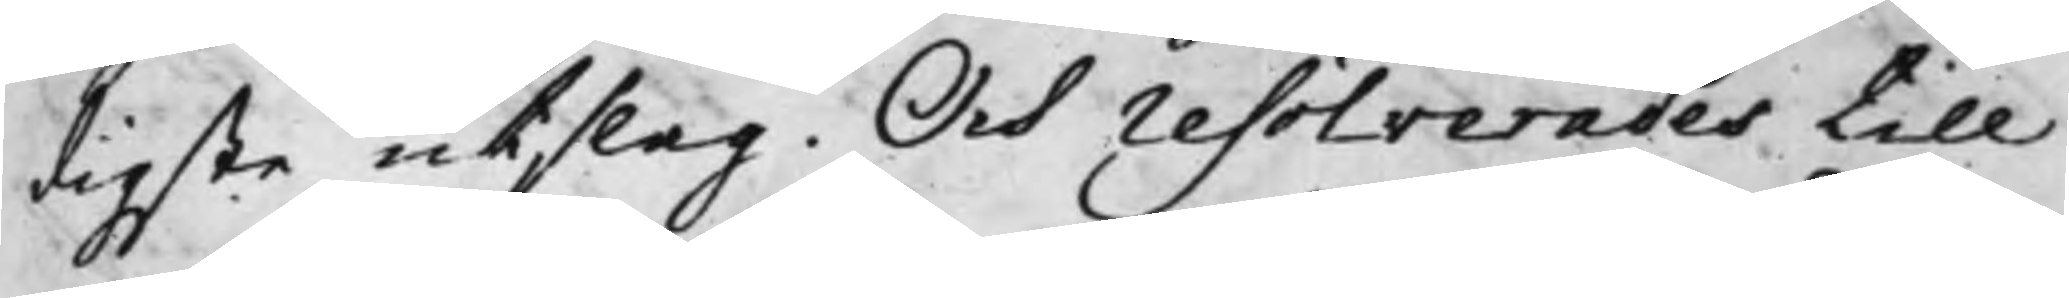digste utslag. Och resolverades till
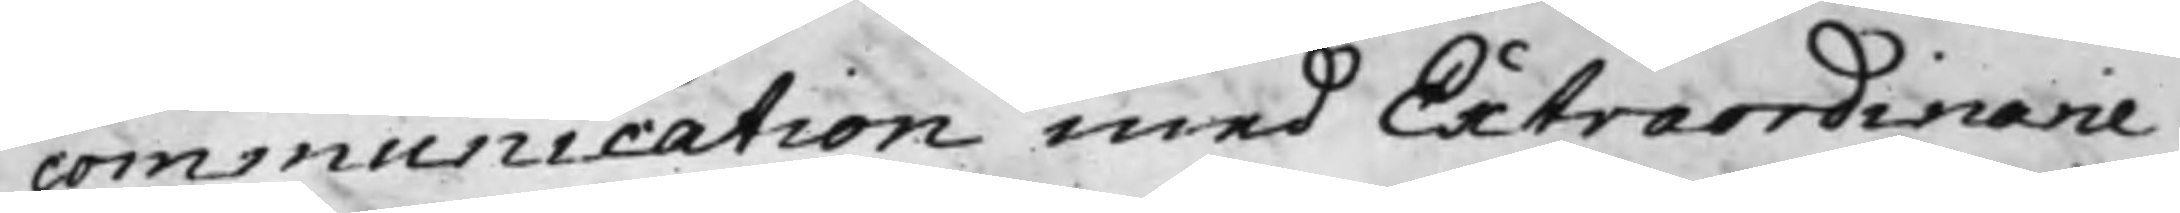communication med Extraordinarie
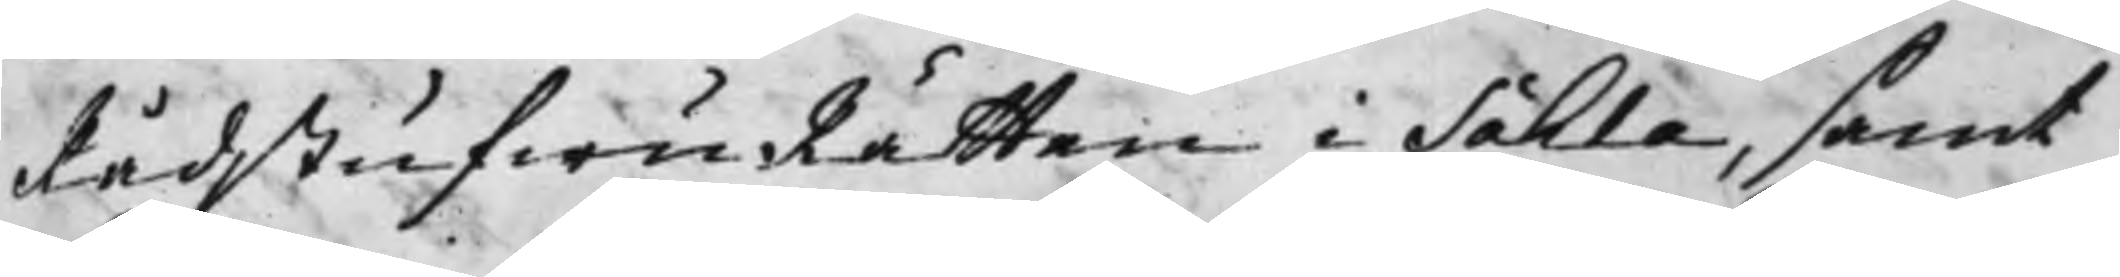RådstufwuRätten i Sahla, samt
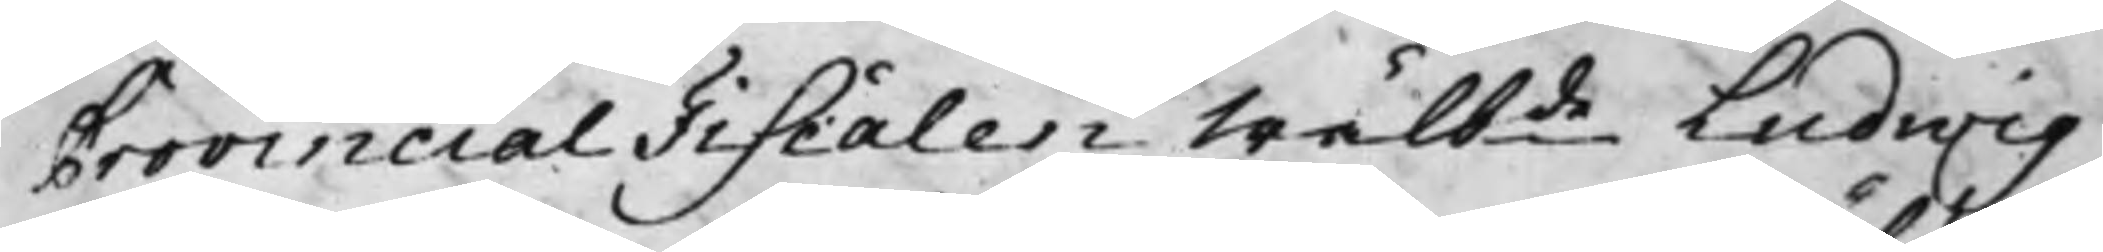Provincial Fiscalen Wälbde Ludwig
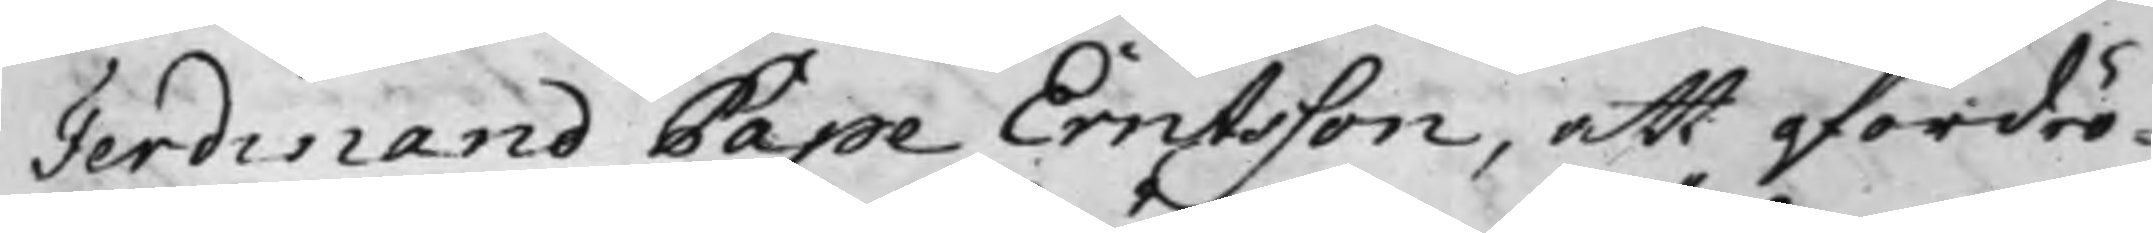Ferdinand Pape Erntsson, att ofördrö¬
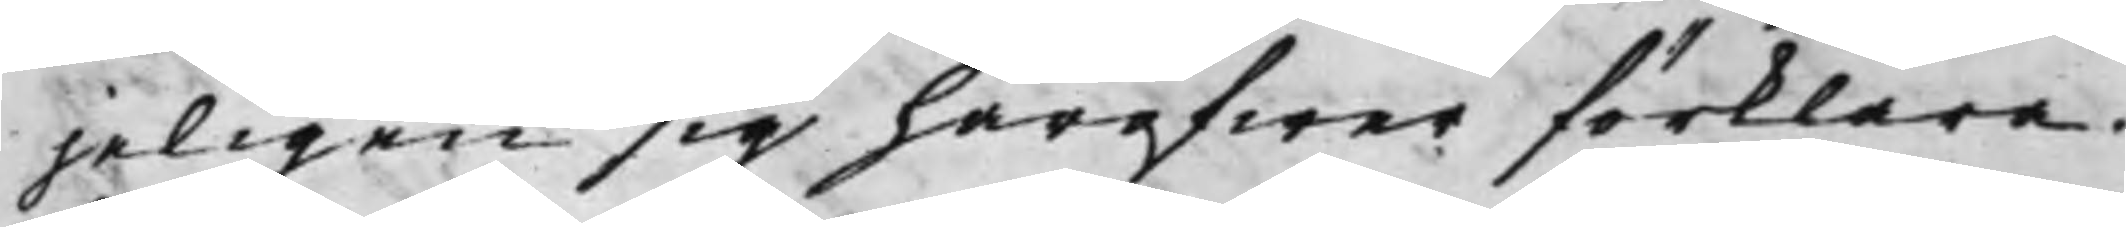jeligen sig häröfwer förklara.
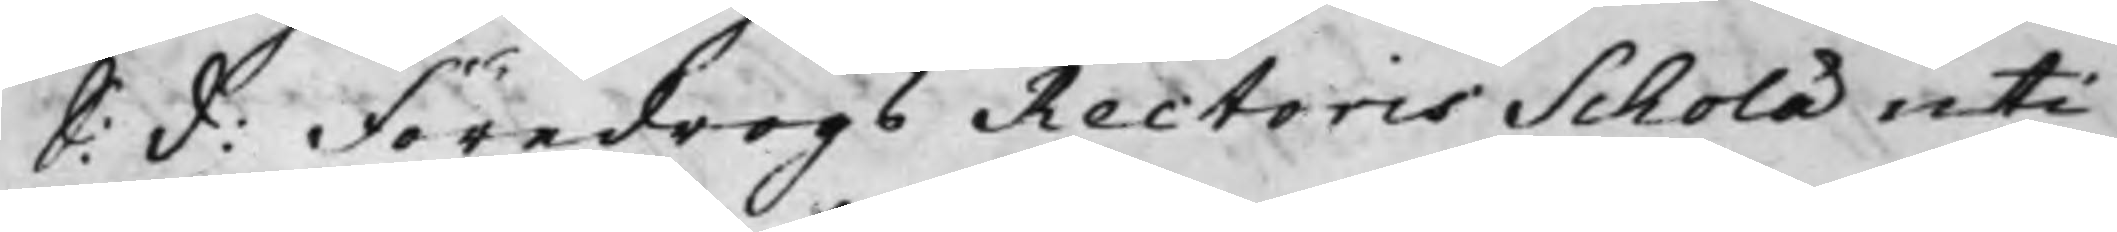S: d: Föredrogs Rectoris Scholæ uti
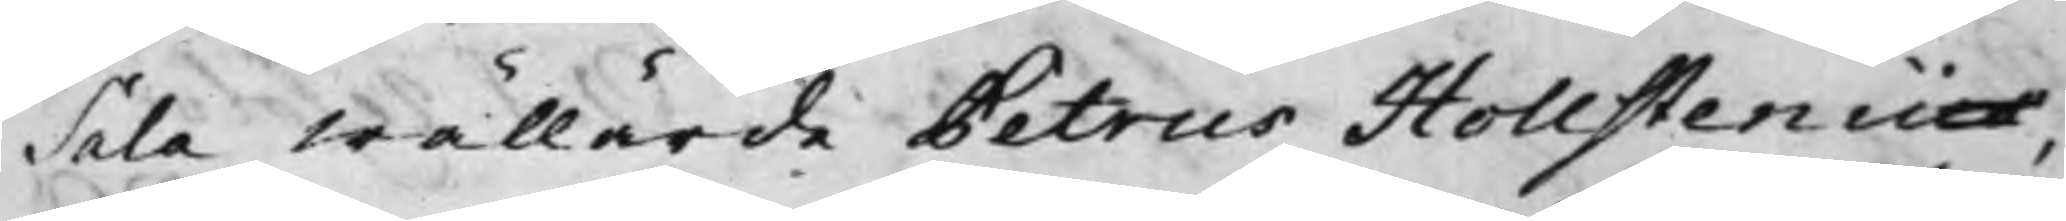Sala Wällärde Petrus Hollstenii,
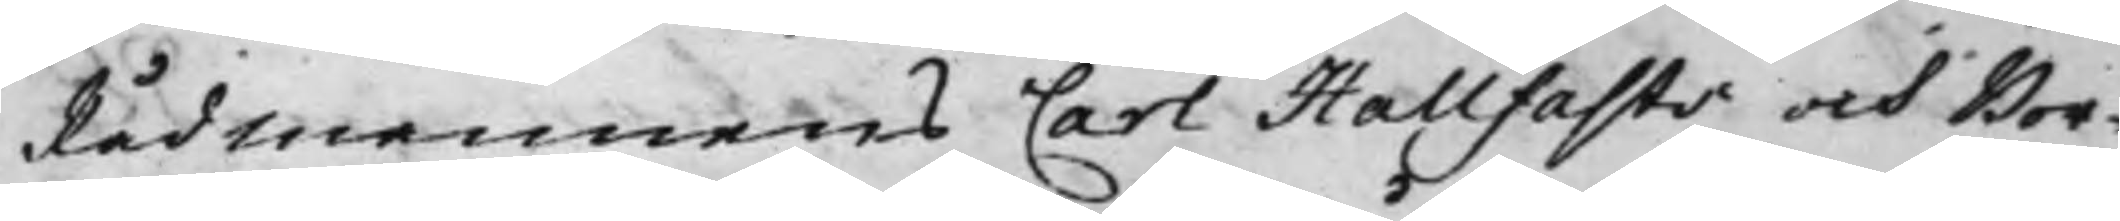Rådmannens Carl Hallfasts och Bor¬
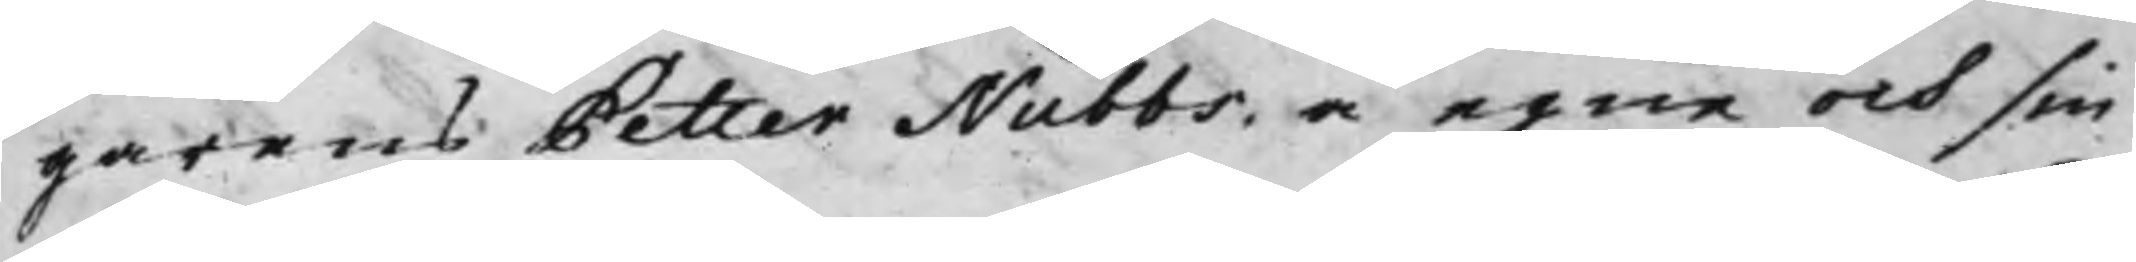garens Petter Nubbs, å egne och sin
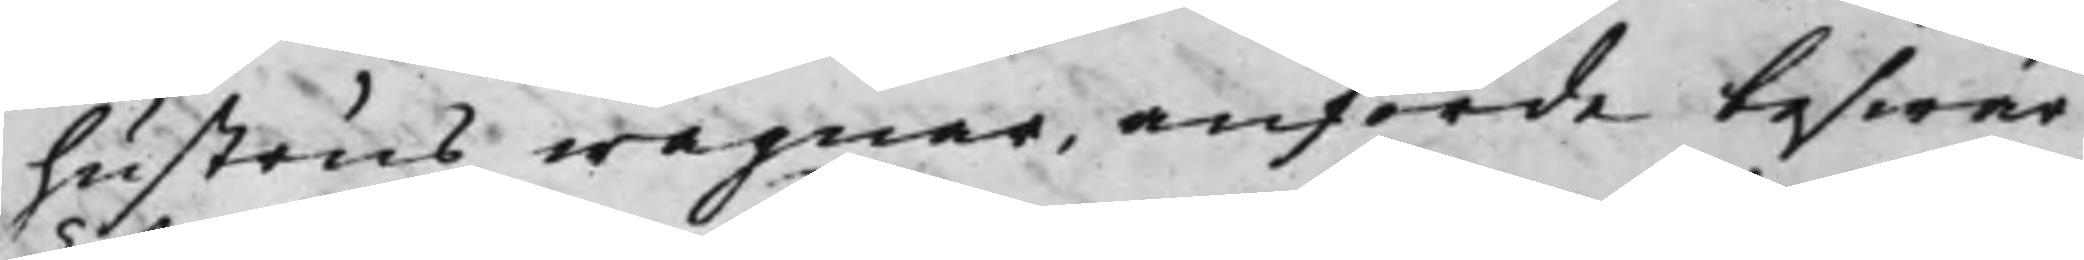hustrus wägnar, anförde beswär
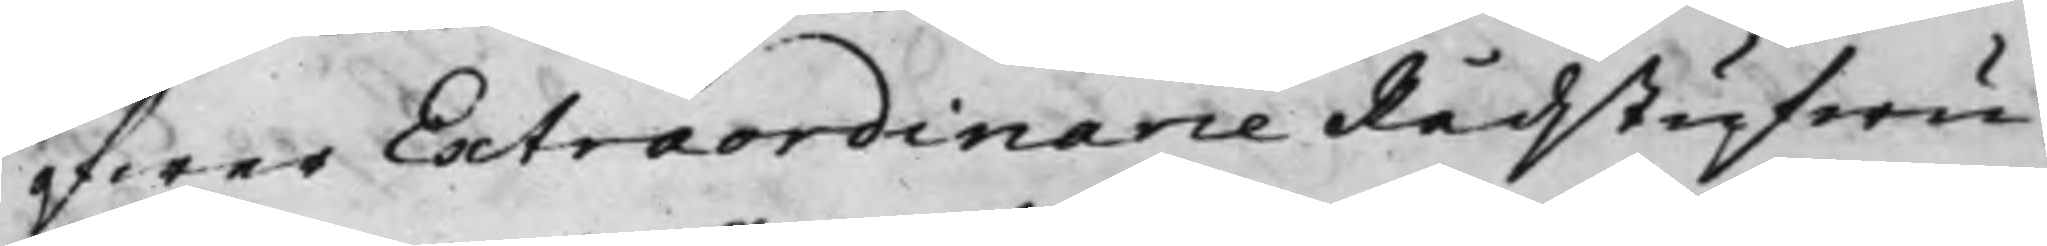öfwer Extraordinarie Rådstufwu¬
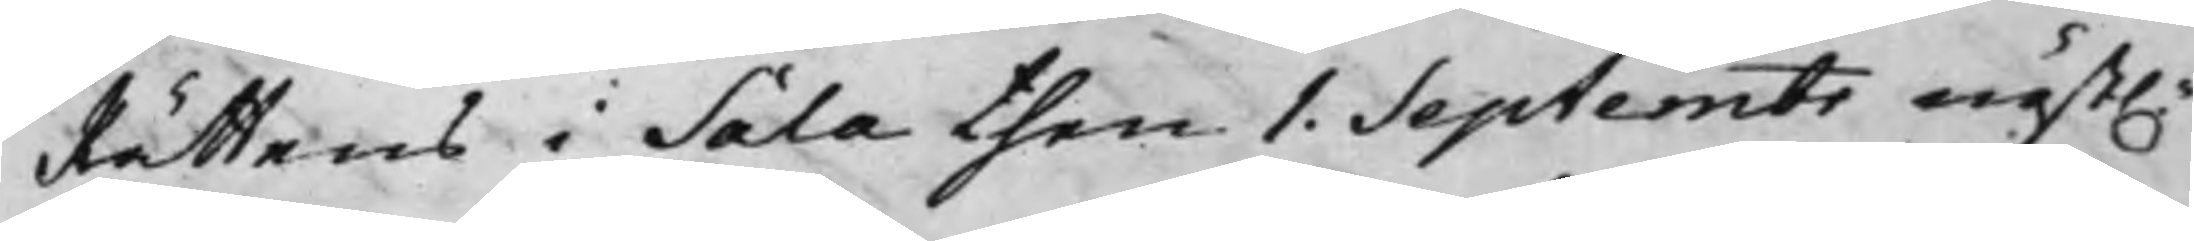Rättens i Sala then 1. Septembr näst.
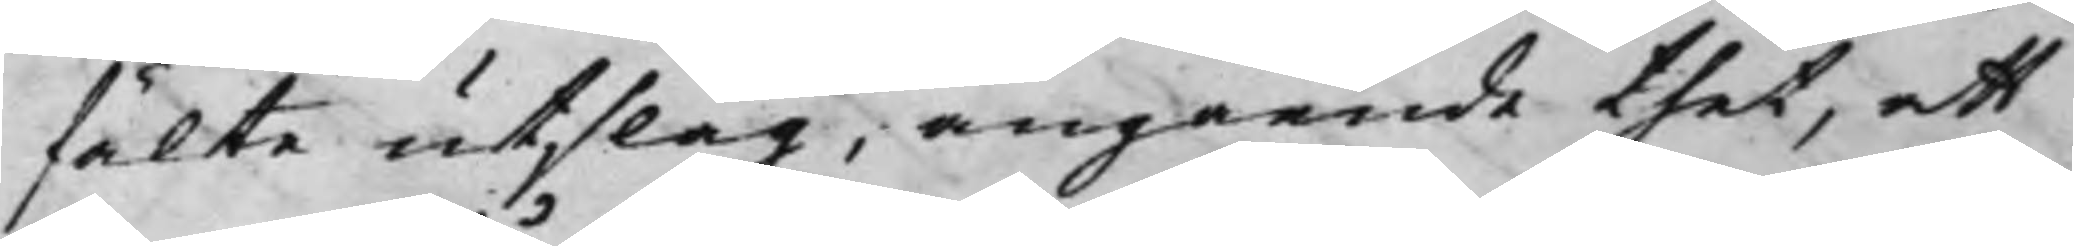fälte utslag, angående thet, att
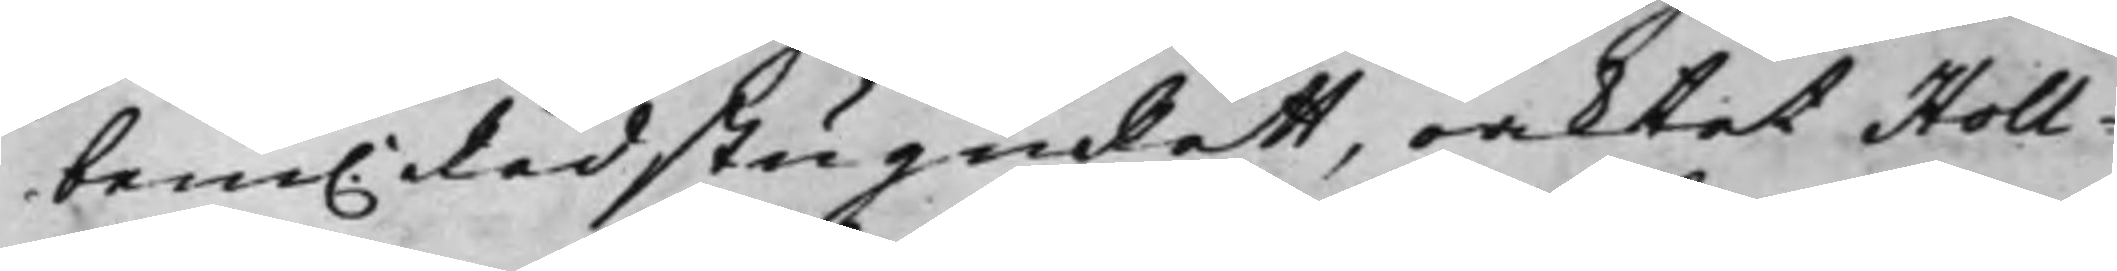bem.e RådstuguRätt, oaktat Holl¬
